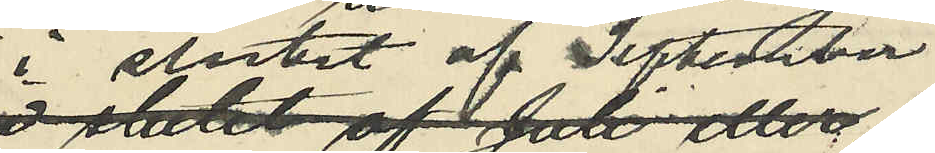i slutet af September
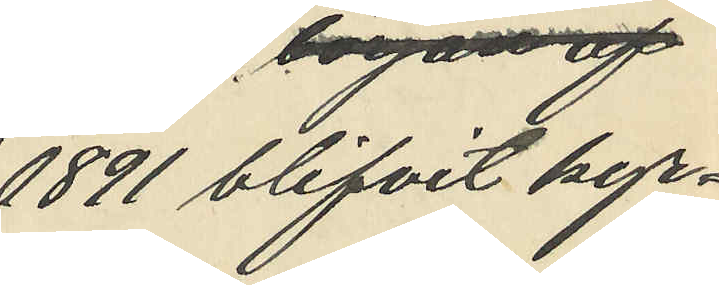1891 blifvit kyr¬
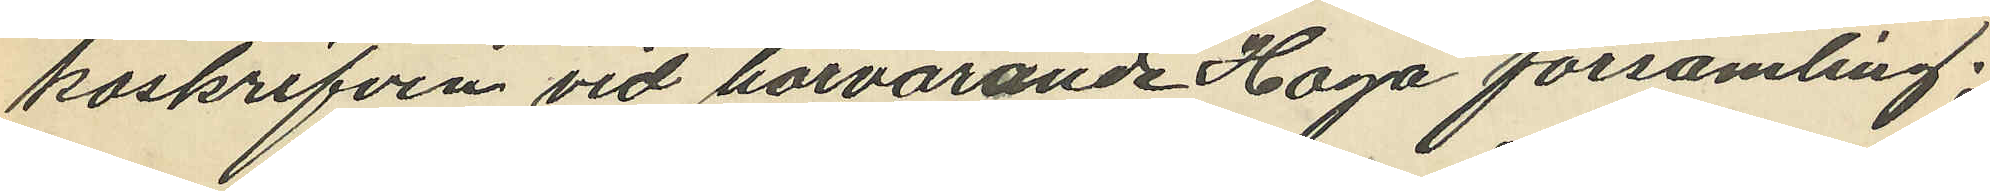koskrifven vid härvarande Haga församling;
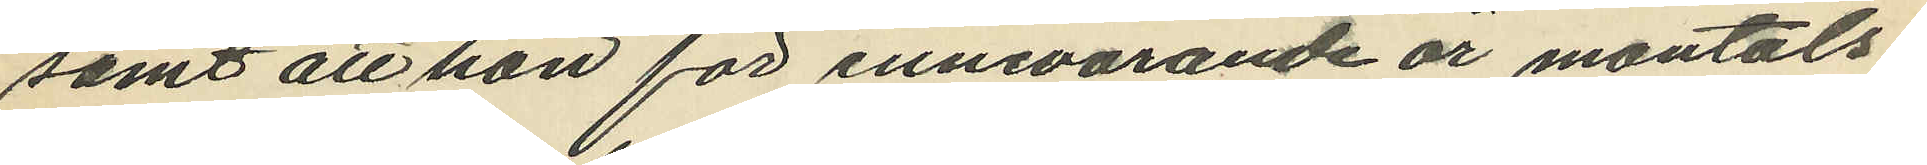samt att hon för innevarande år mantals¬
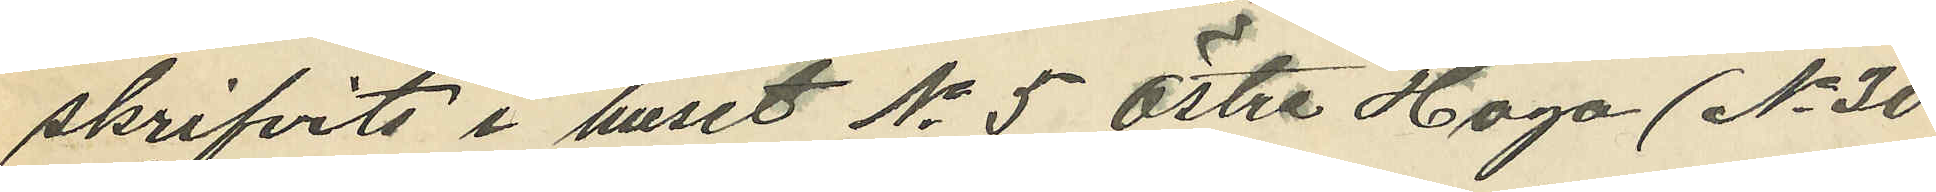skrifvits i huset No 5 Östra Haga (No 30
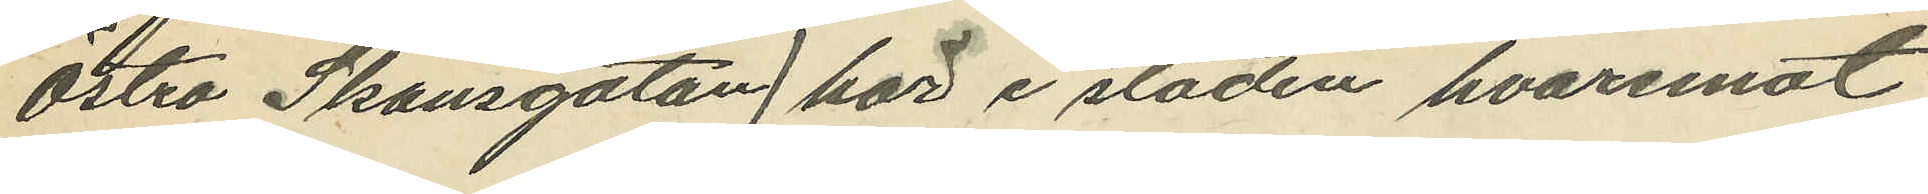Östra Skansgatan) här i staden, hvaremot
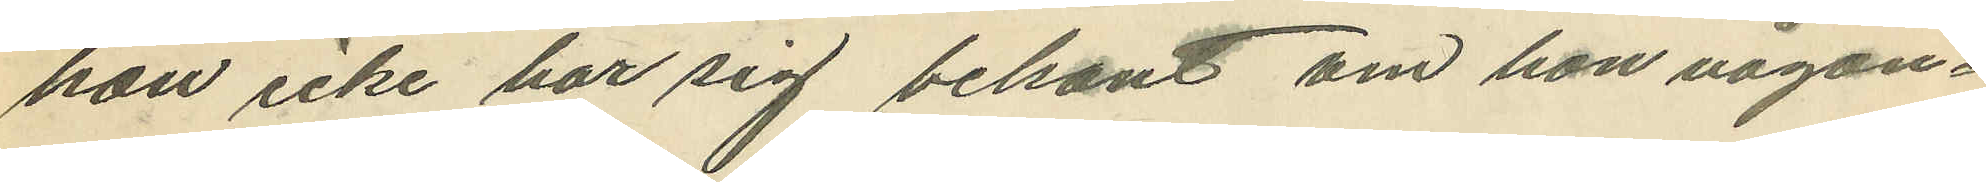hon icke har sig bekant om hon någon¬
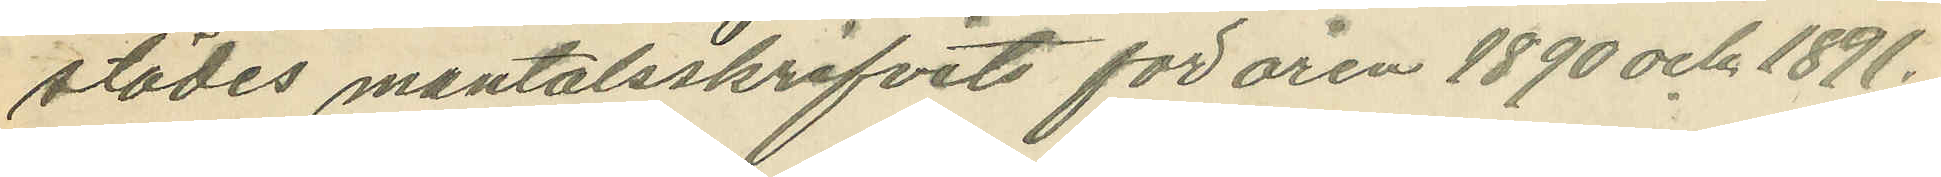städes mantalsskrifvits för åren 1890 och 1891.
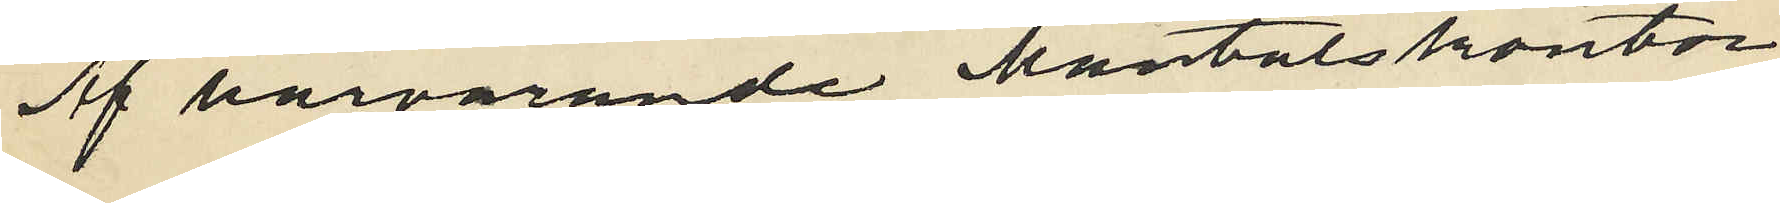Af härvarande Mantalskontor
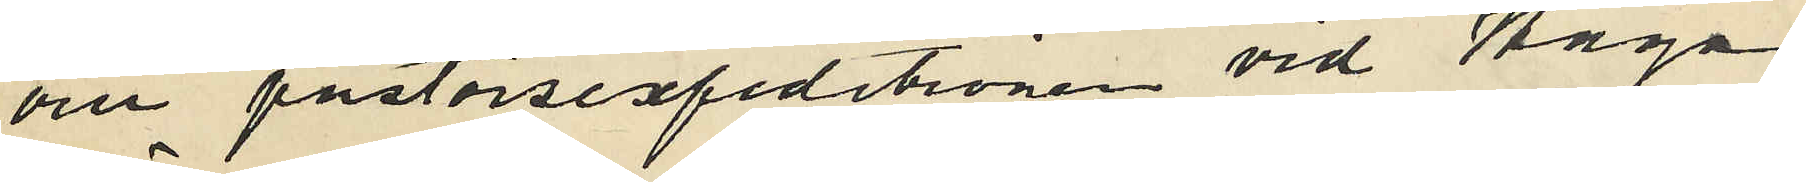om pastorsexpeditionen vid Haga
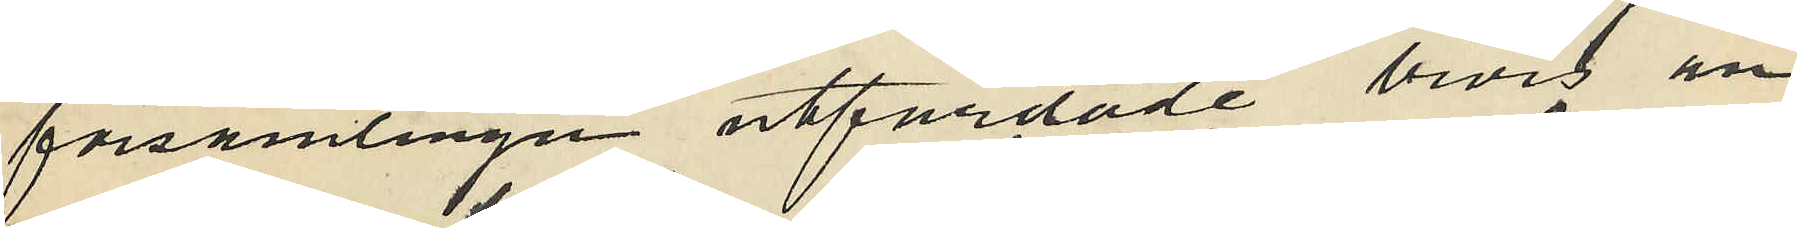församlingen utfärdade bevis an
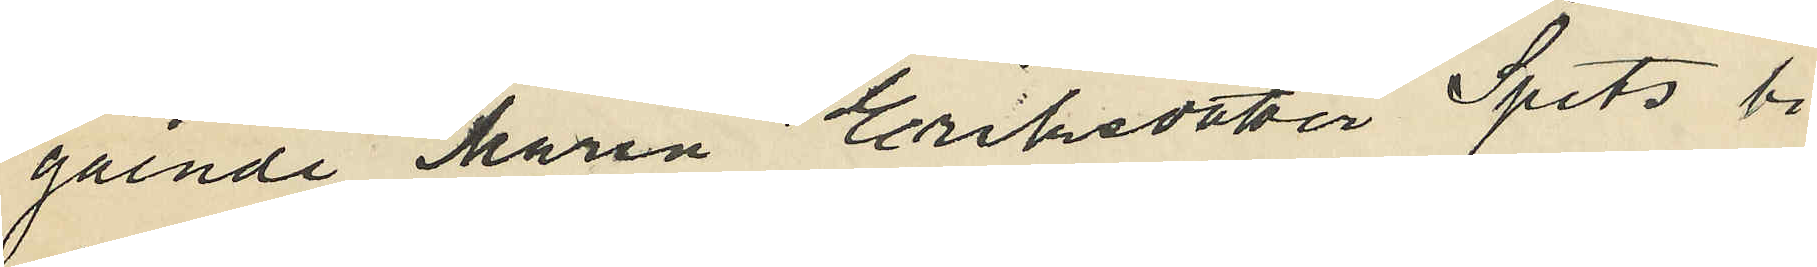gående Maria Eriksdotter Spets bi¬
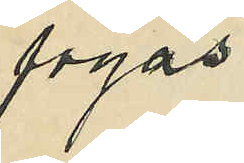fogas.
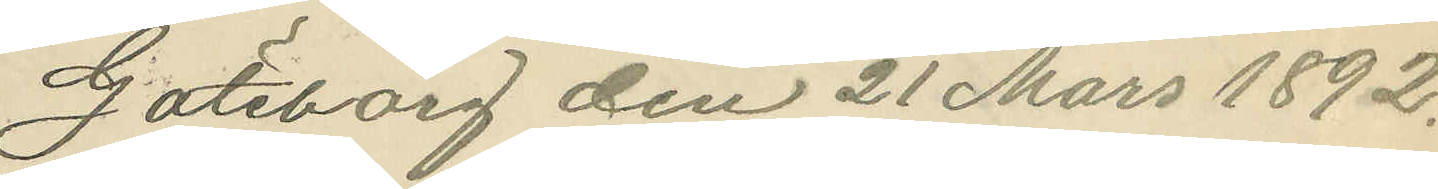Göteborg den 21 Mars 1892.
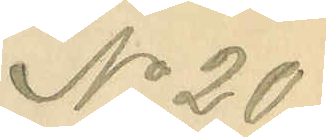No 20.
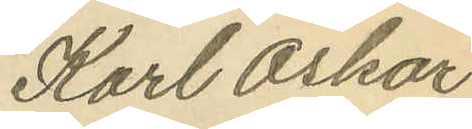Karl Oskar
